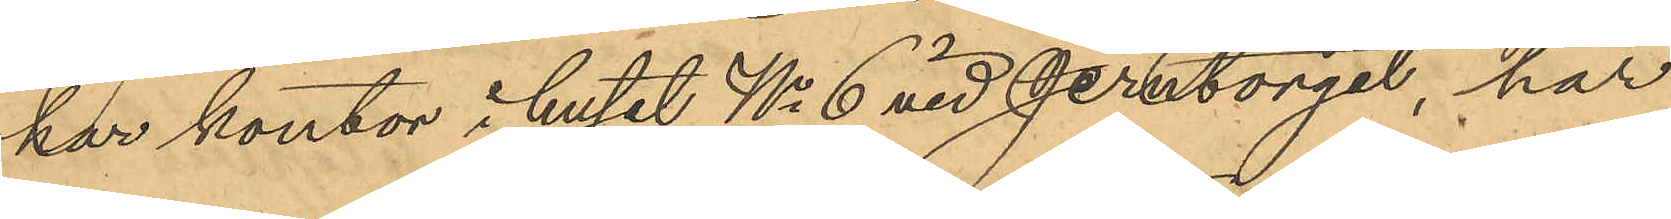har kontor i huset No 6 vid Jerntorget, har
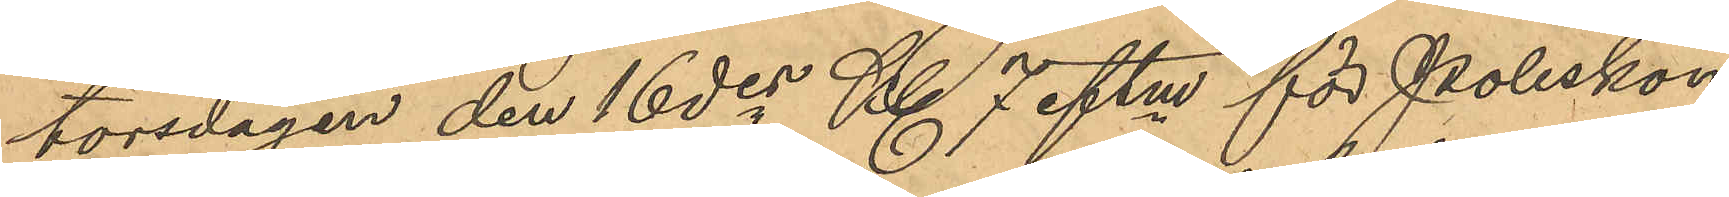torsdagen den 16 des Kl 7 eftm för Poliskon¬
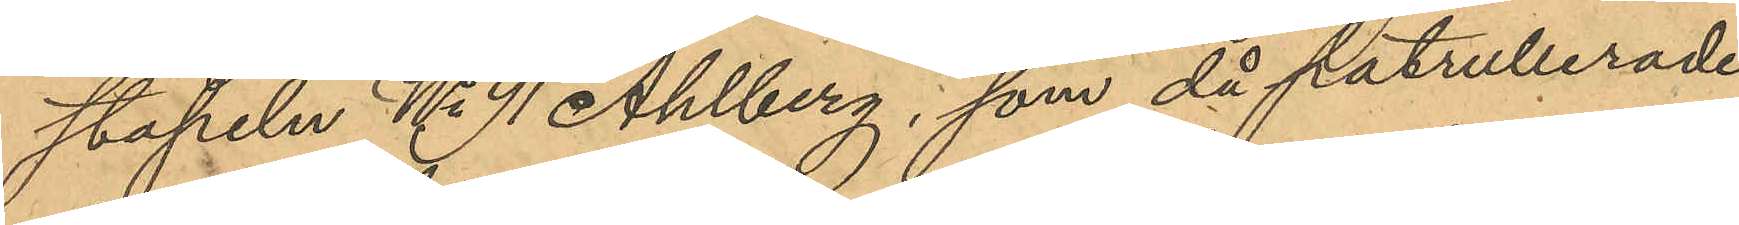stapeln No 91 Ahlberg, som då patrullerade
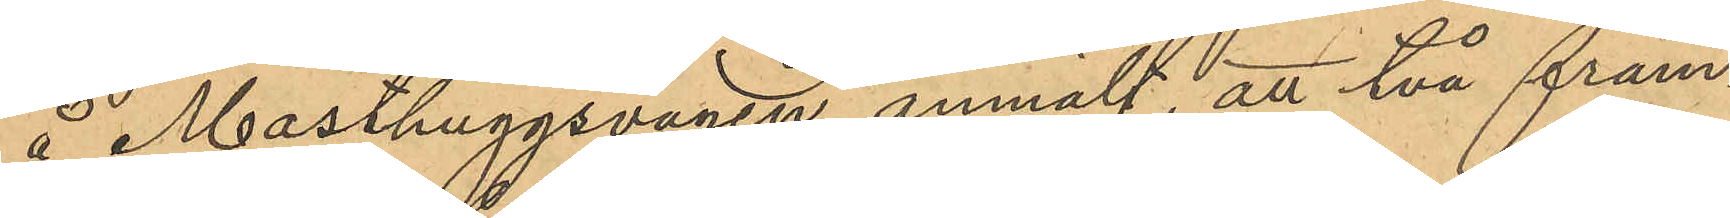å Masthuggsvägen anmält, att två främ¬
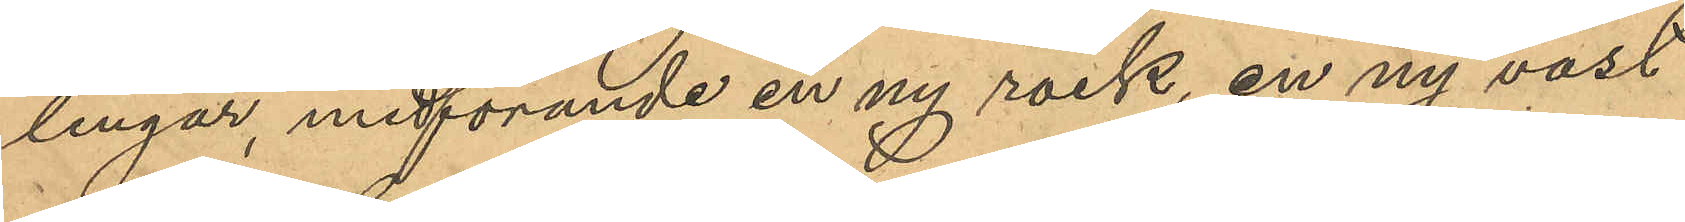lingar, medförande en ny rock, en ny väst
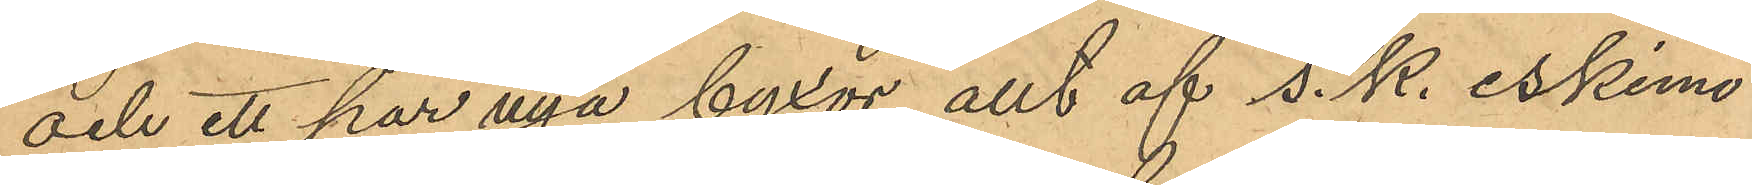och ett par nya byxor, allt af s.k. eskimo¬
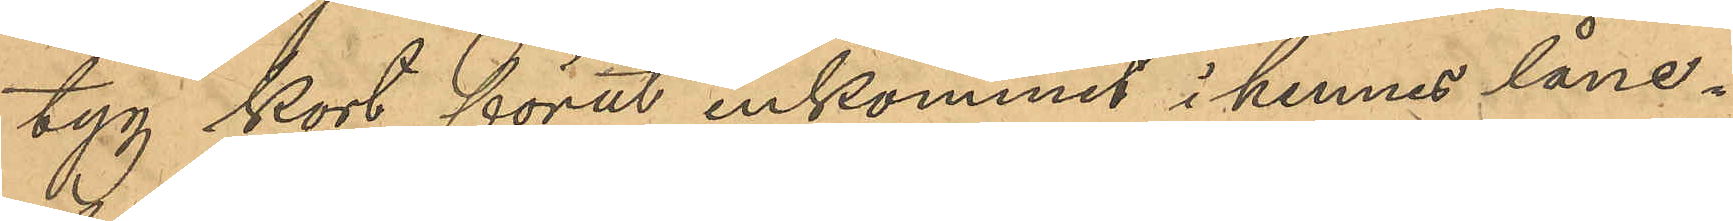tyg kort förut inkommit i hennes låne¬
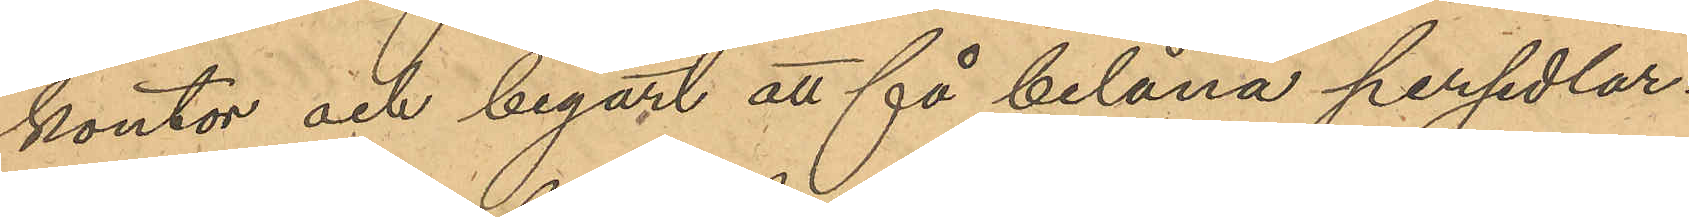kontor och begärt att få belåna persedlar¬
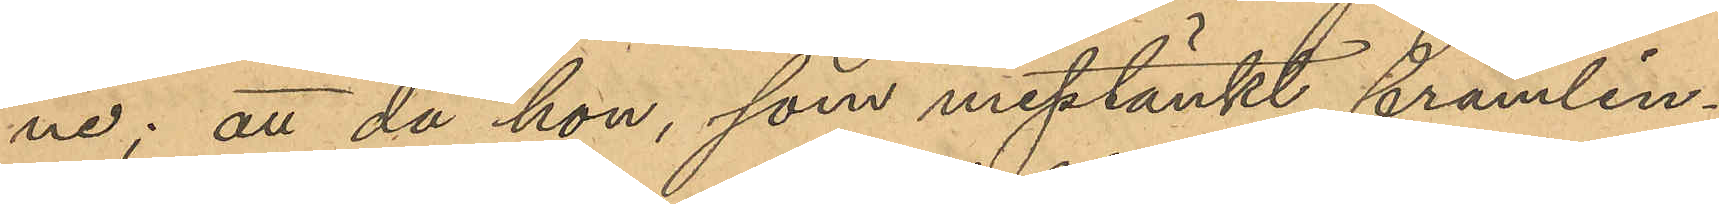ne; att då hon, som misstänkt främlin¬
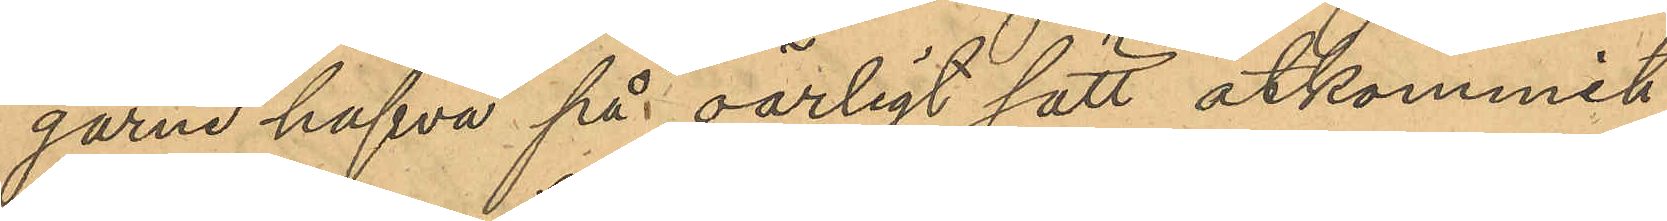garne hafva på oärligt sätt åtkommit
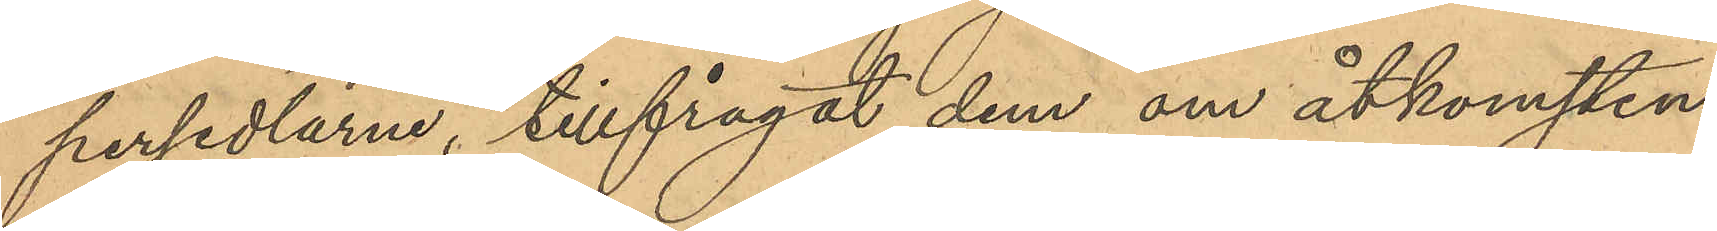persedlarne, tillfrågat dem om åtkomsten
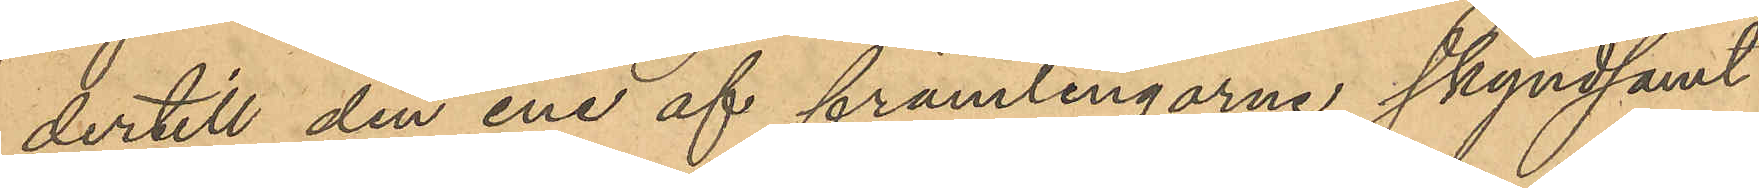dertill den ene af främlingarne skyndsamt
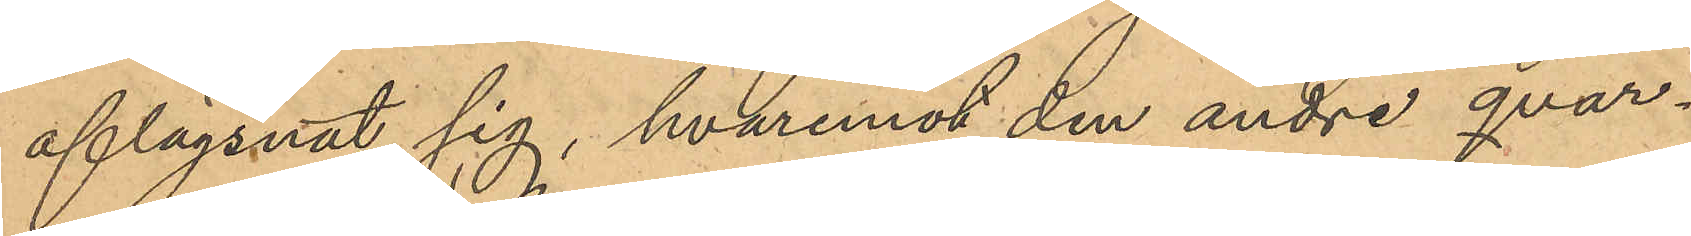aflägsnat sig, hvaremot den andre qvar¬
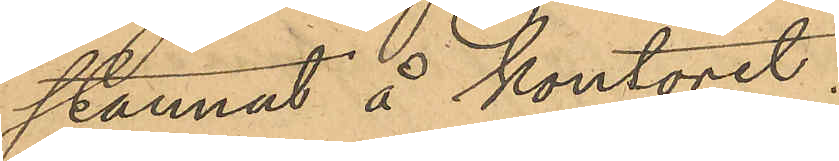stannat å kontoret.
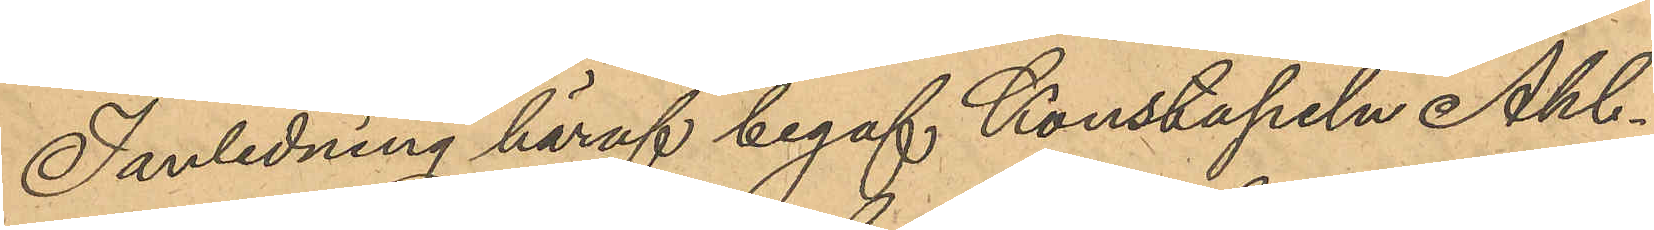I anledning häraf begaf Konstapeln Ahl¬
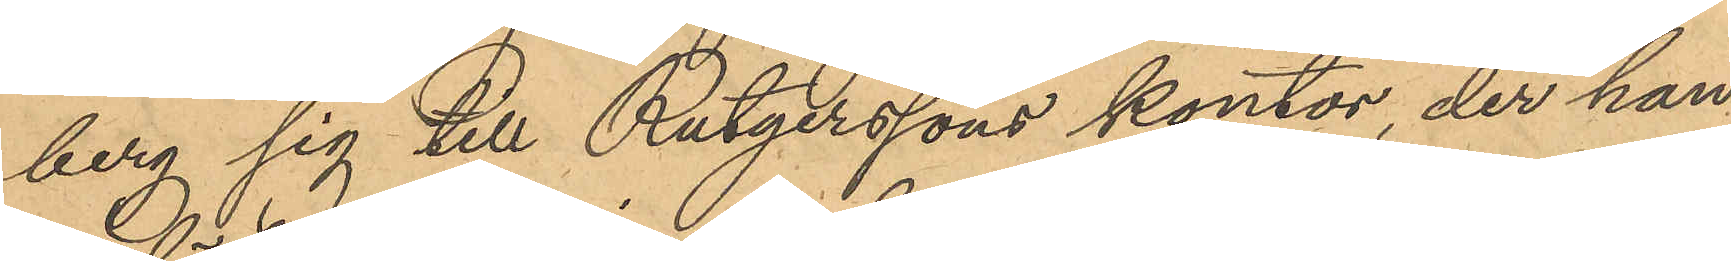berg sig till Rutgerssons kontor, der han
